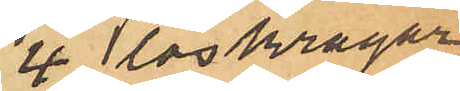4 löskragar
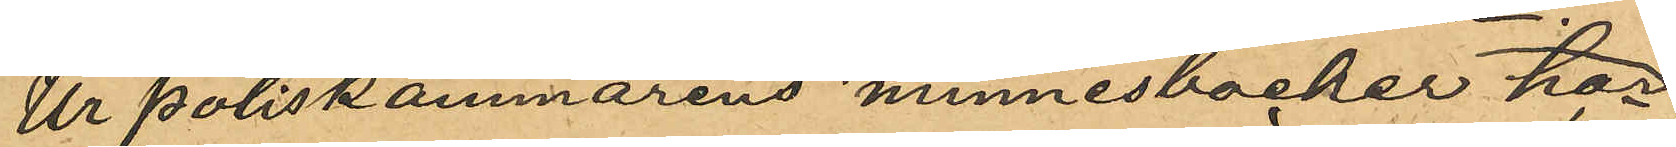Ur Poliskammarens minnesböcker har
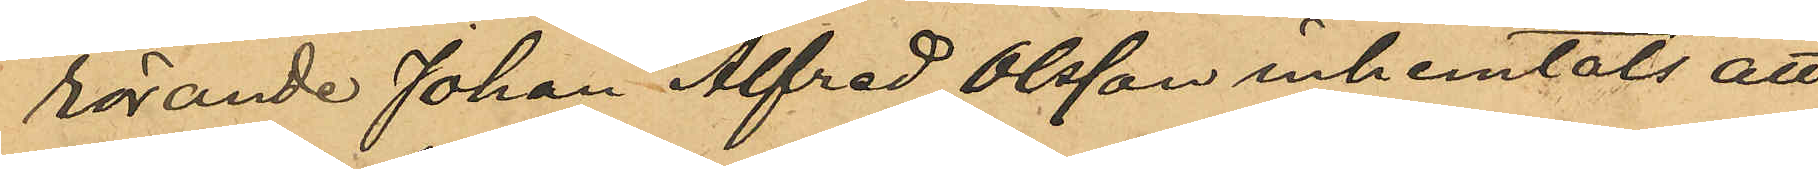rörande Johan Alfred Olsson inhemtats att
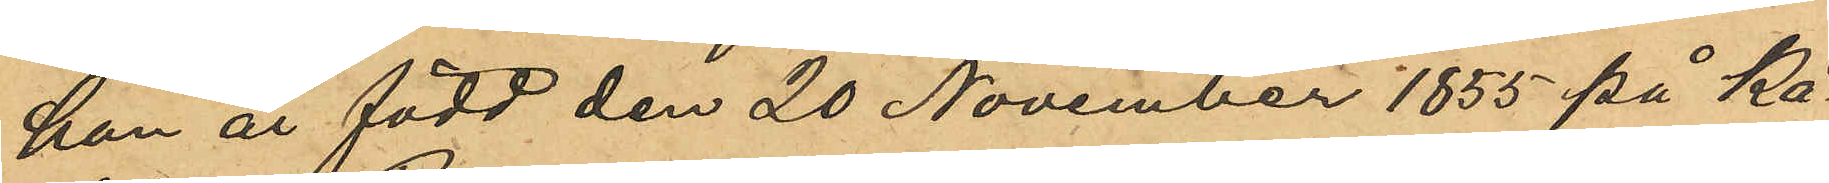han är född den 20 November 1855 på Kå¬
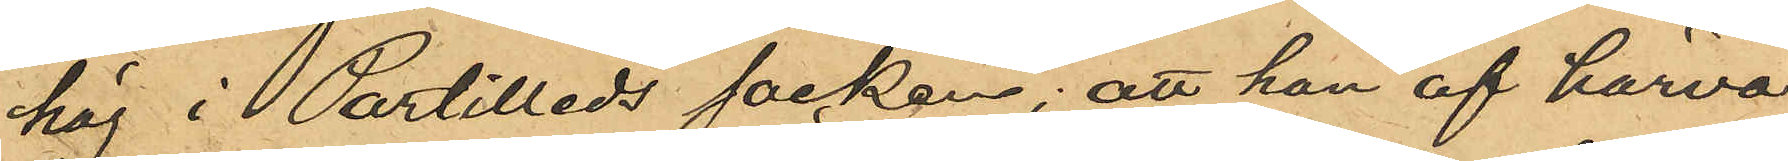hög i Partilleds socken; att han af härva¬
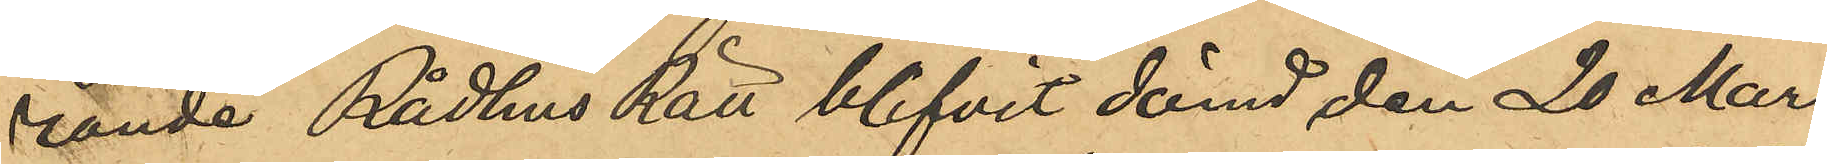randa Rådhus Rätt blifvit dömd den 20 Mars
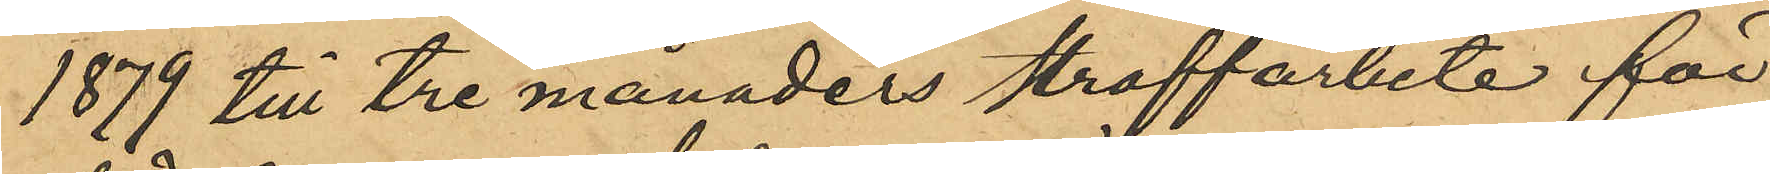1879 till tre månaders straffarbete för
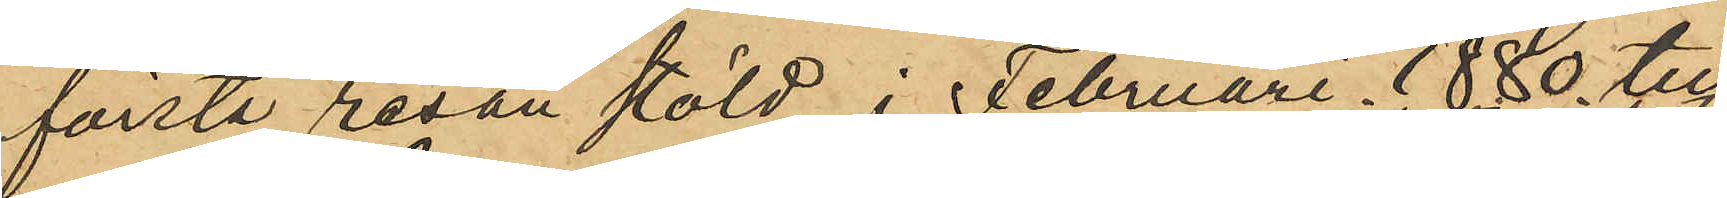första resan stöld, i Februari 1880 till
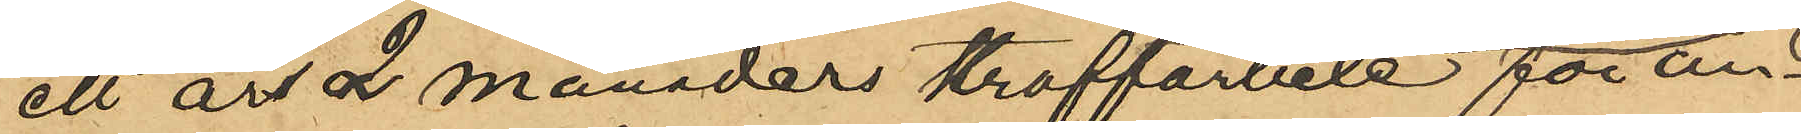ett år 2 månaders straffarbete för an¬
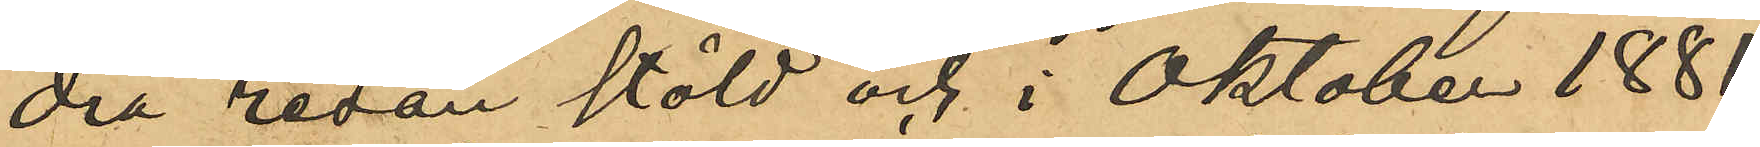dra resan stöld och i Oktober 1881
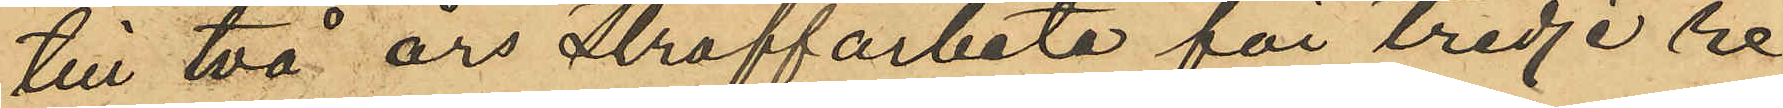till två års straffarbete för tredje re¬
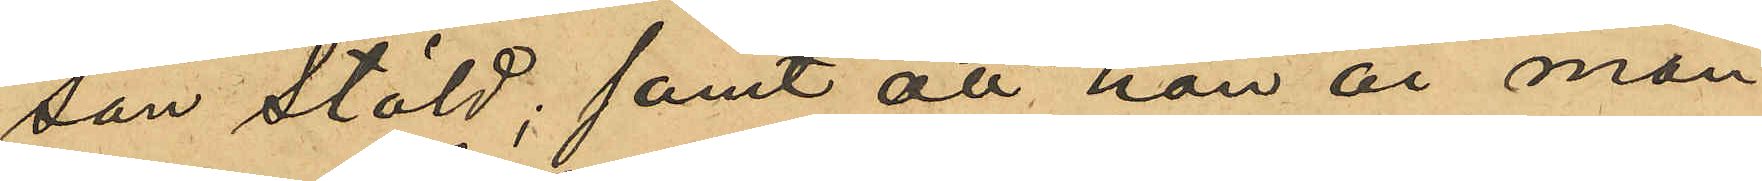san stöld; samt att han är man¬
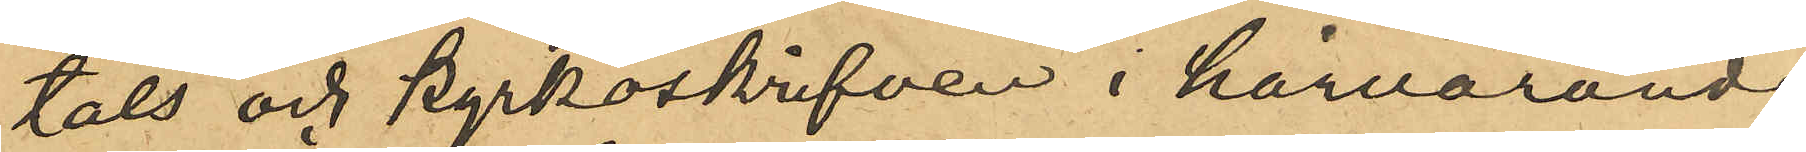tals och kyrkoskrifven i härvarande
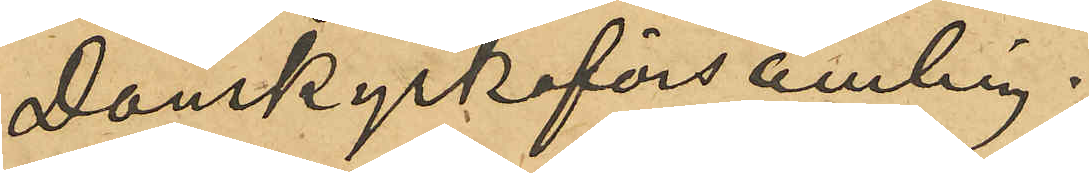Domskyrkoförsamling.
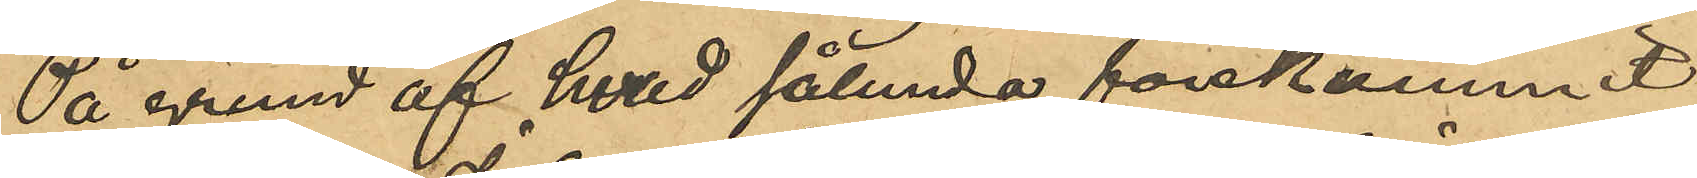På grund af hvad sålunda förekommit
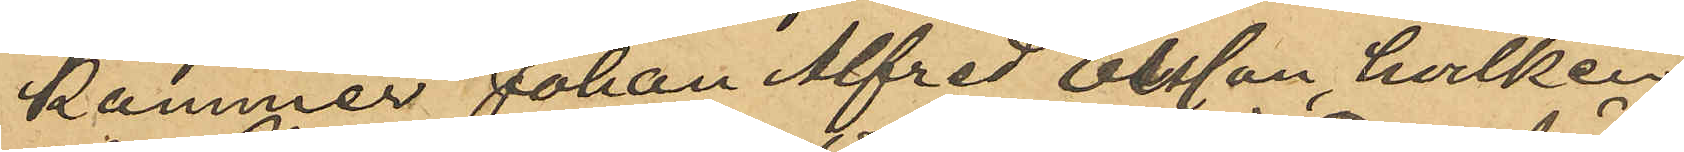kommer Johan Alfred Olsson, hvilken
